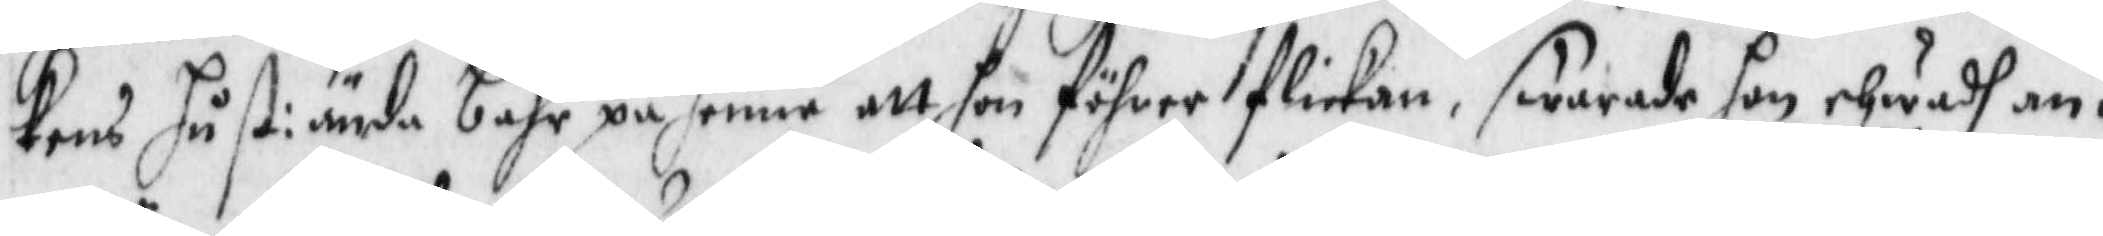kens hust: ända bahr på henne att hon föhrer flickan, swarade hon ehwadh an¬
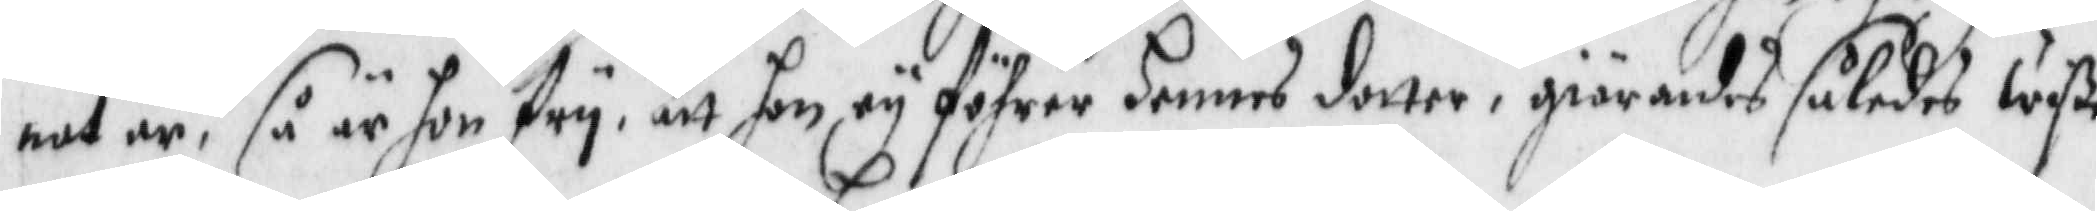nat är, så är hon fry, att hon ey föhrer hennes dotter, giärandes således wiße
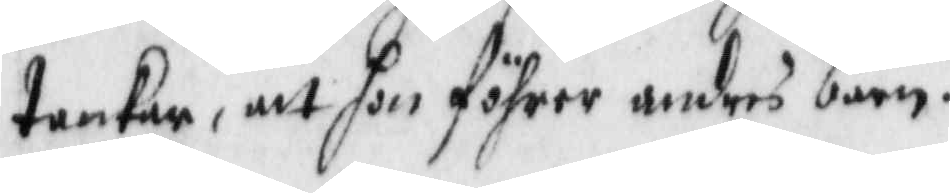tankar, att hon föhrer andras barn.
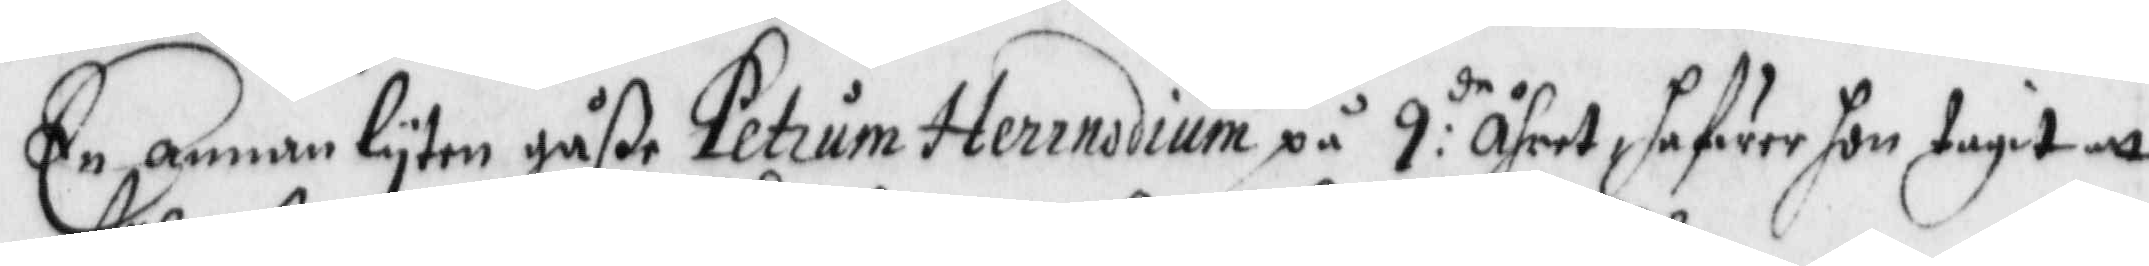En annan lyten gåße Petrum Herrnsdium på 9:de Åhret hafwer hon tagit att
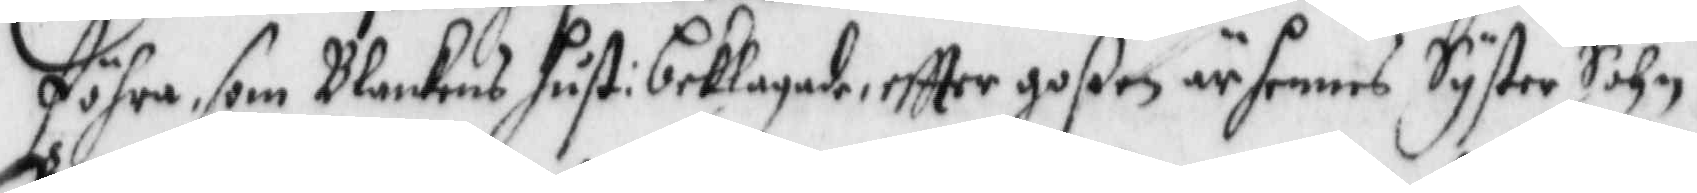föhra, som Blankens hust: beklagade eftter goßen är hennes Syster Sohn.
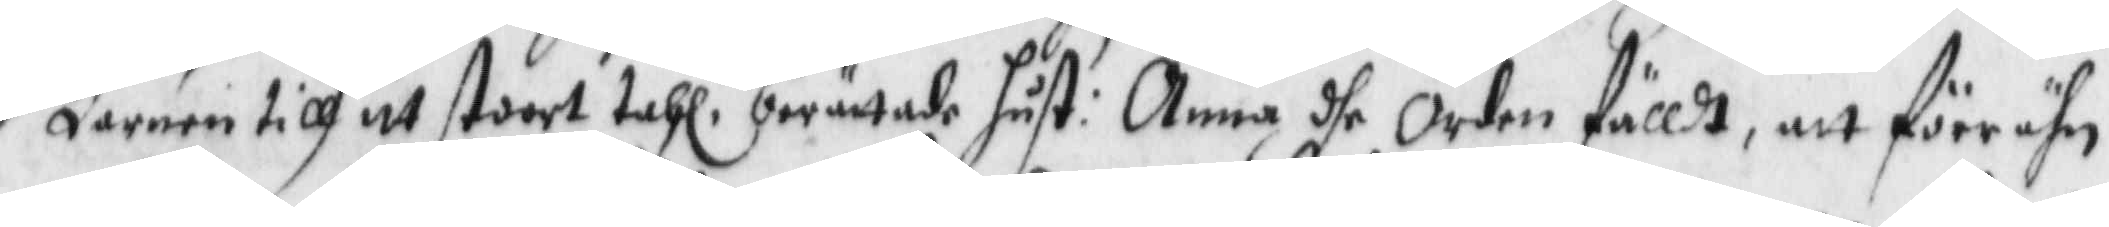Barnen till itt stoort tahl, berättade hust: Anna dhe orden fälldt, att förr ähn
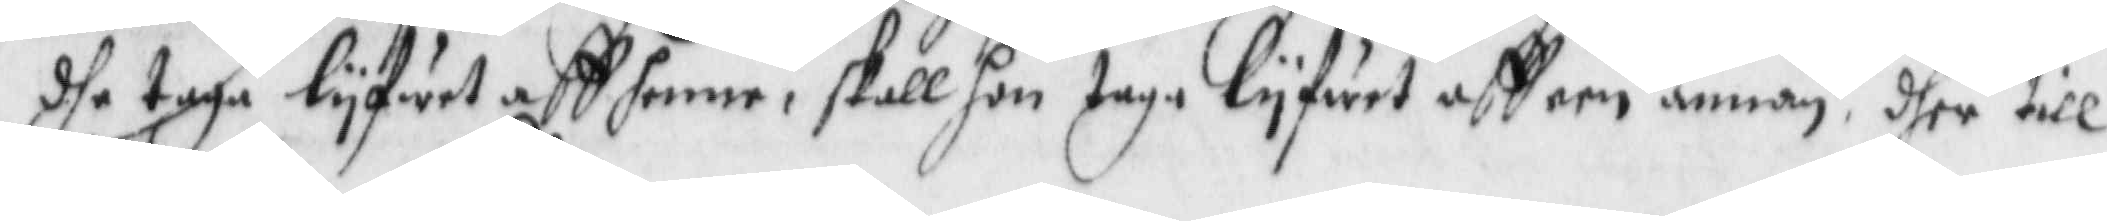dhe taga lyfwet aff henne, skall hon taga lyfwet aff een annan, dher till
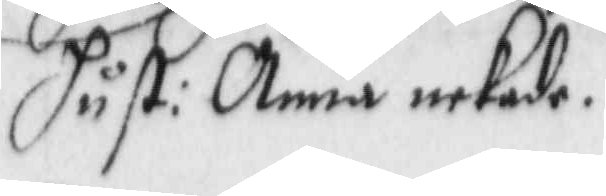hust: Anna nekade.
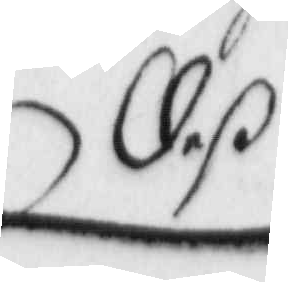deß
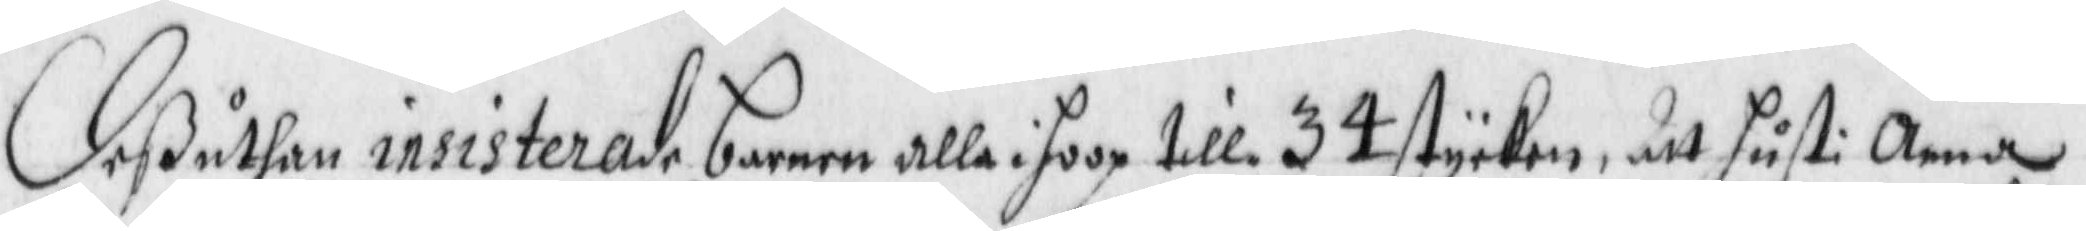deßuthan insisterade barnen alla ihoop till 34 stycken, att hust: Anna
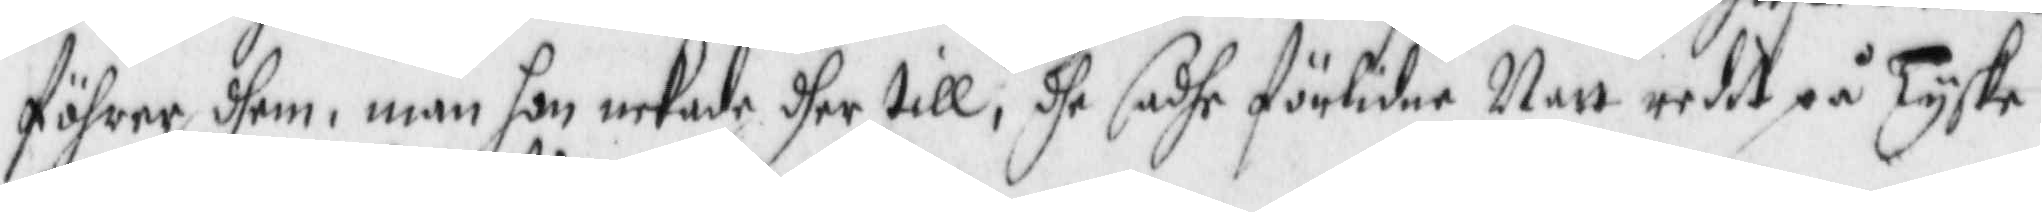föhrer dehm, män hon nekade dher till, dhe sadhe förlidne Natt redet på Tyske
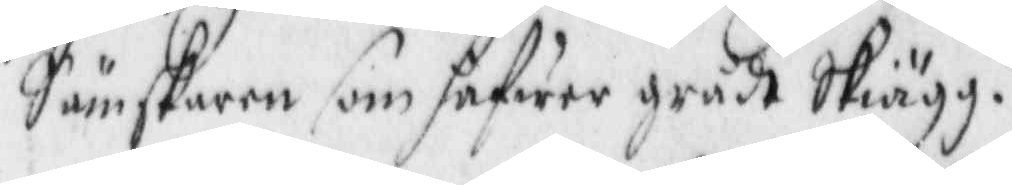Sämskaren som hafwer grådt Skiägg.
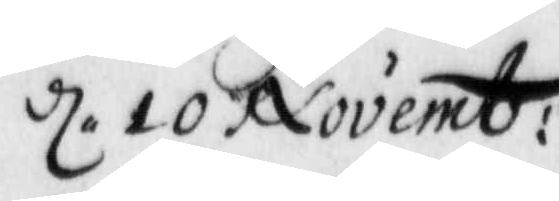d. 10 Novemb:
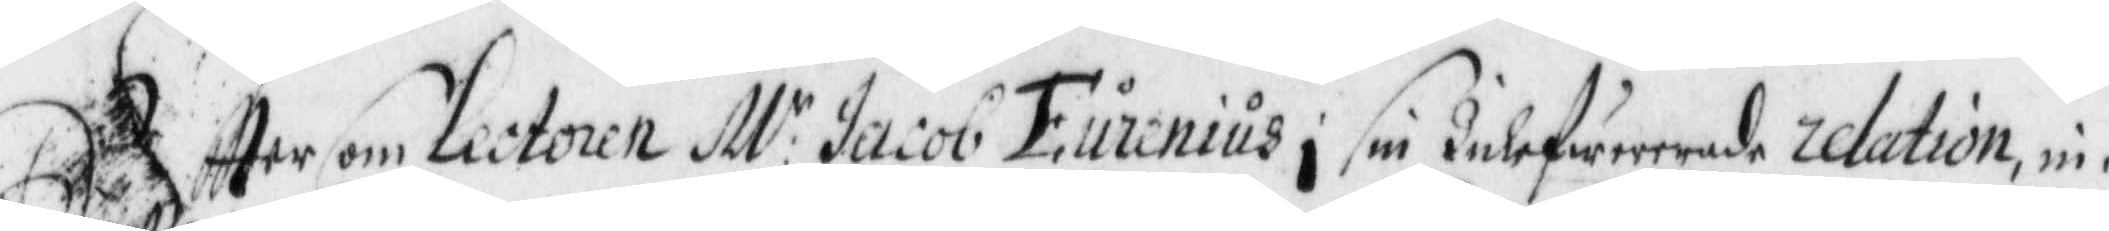Eftter som Lectoren M:r Jacob Eurenius i sin Inlefwererade relation, nu
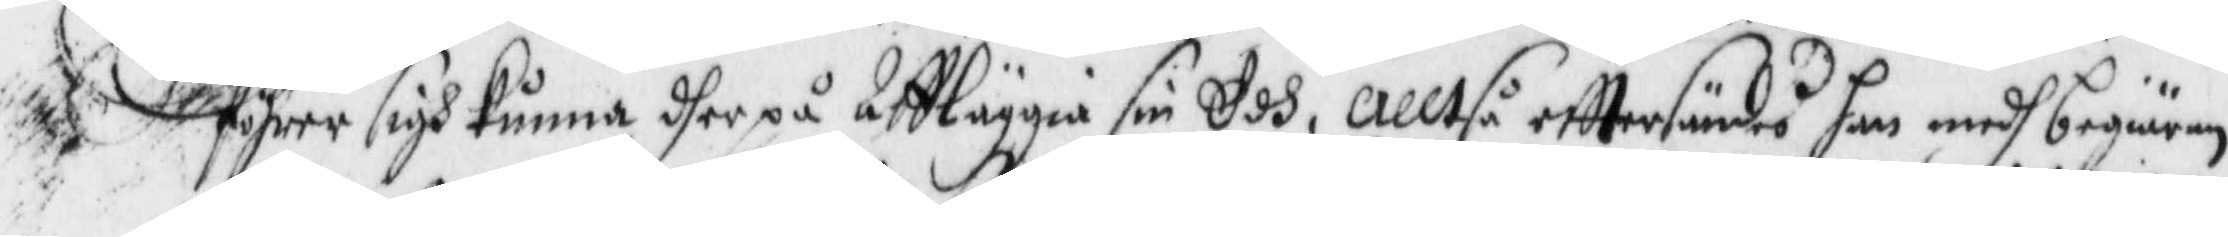föhrer sigh kunna dger på Affläggia sin Edh, alltså efttersändes han medh begiäran
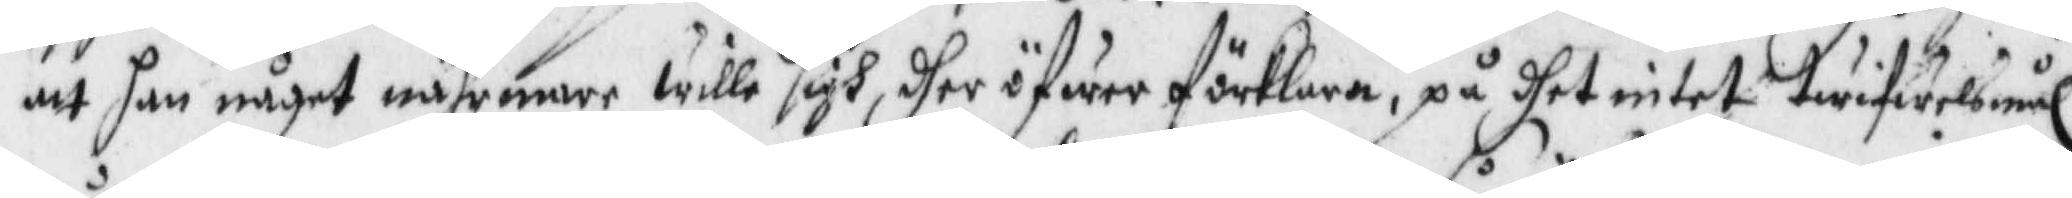att han något nährmare wille sigh dher öfwer förklara, på dhet intet twifwelsmål
